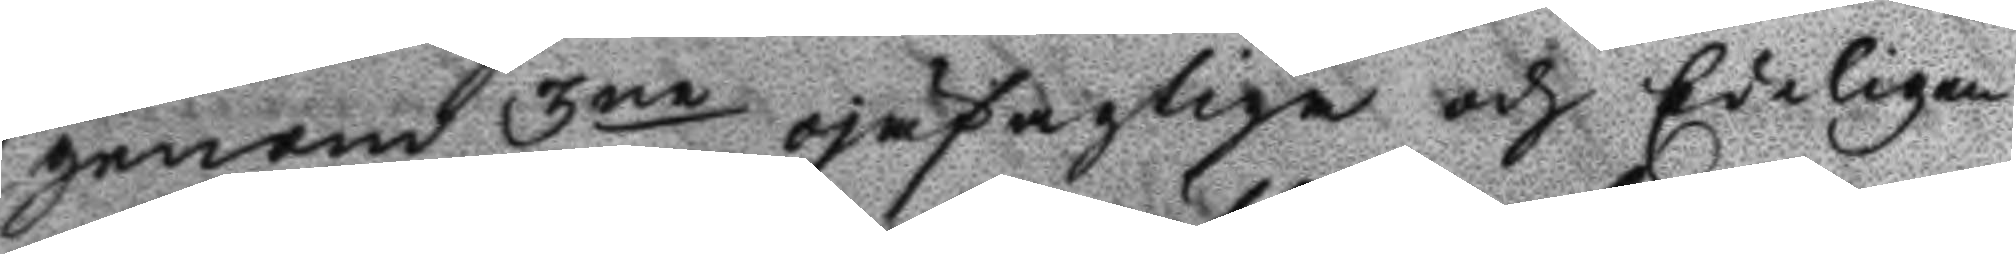genom 3ne ojäfagliga och Edeligen
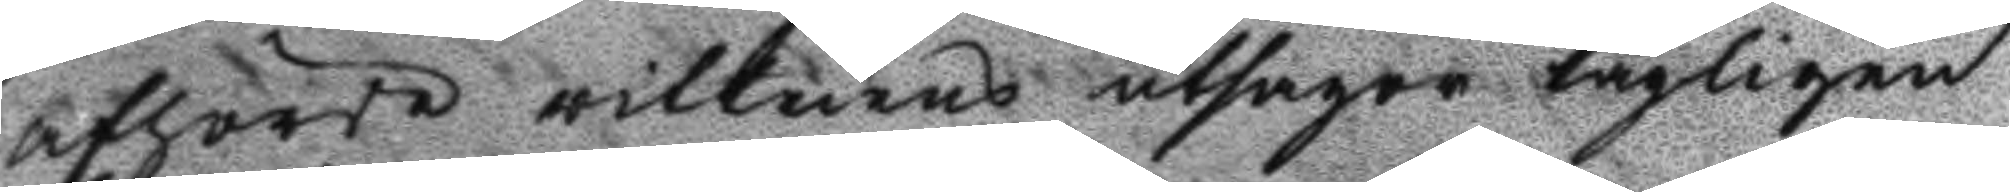afhörde vittnens utsagor lagligen
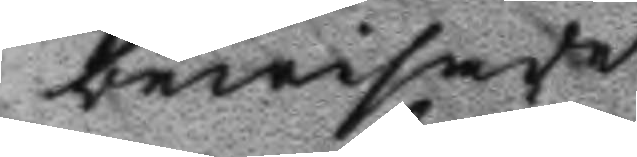bewisade.
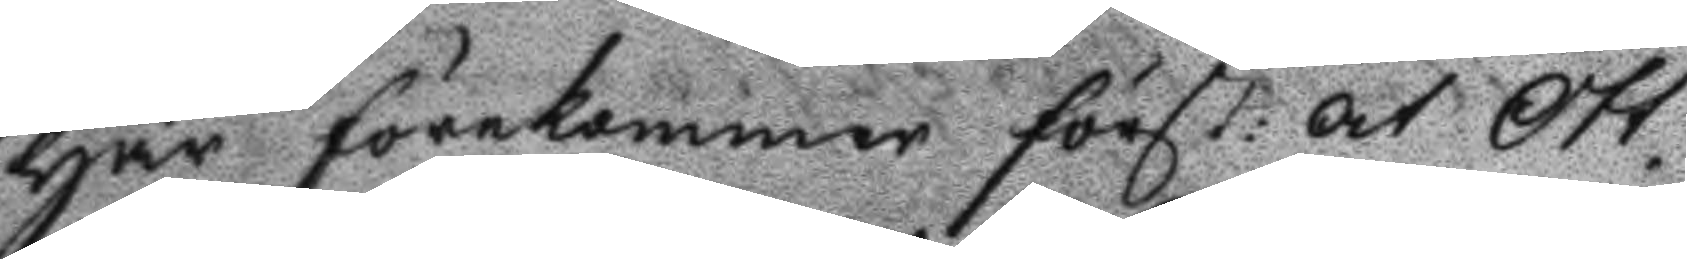Här förekommer först: att Ott¬
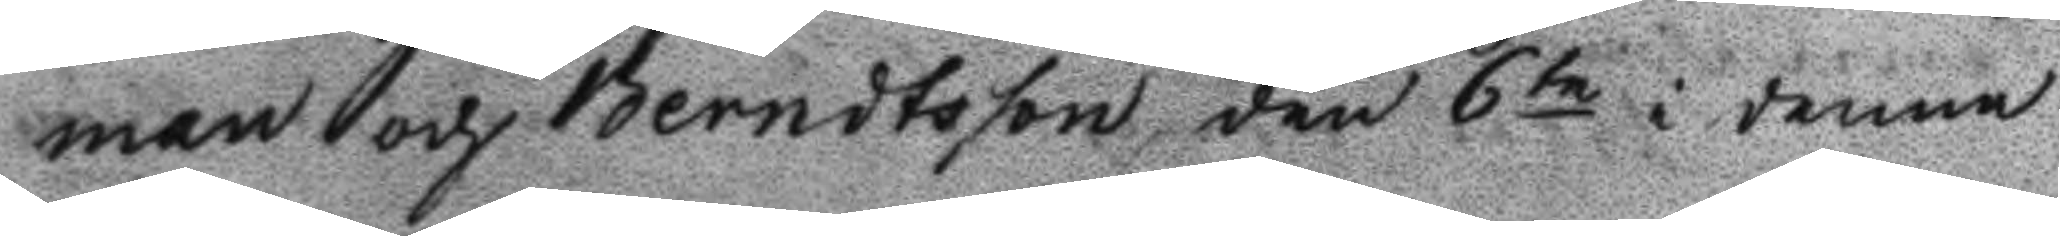man och Berndtson den 6te i denne
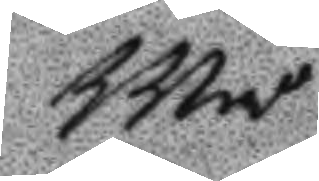Må¬
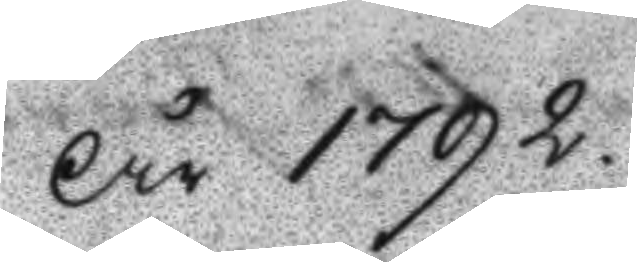År 1792
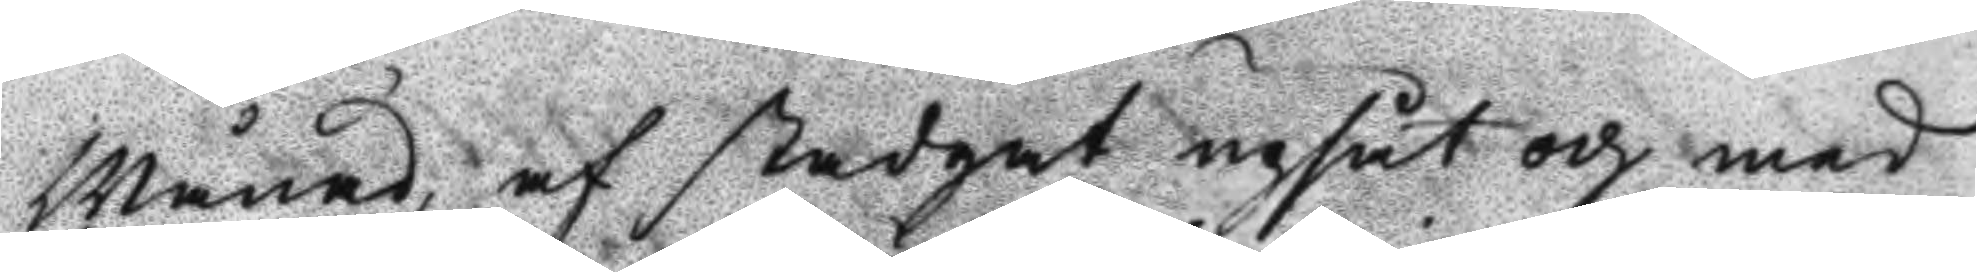Månad, af Stadgat upsåt och med
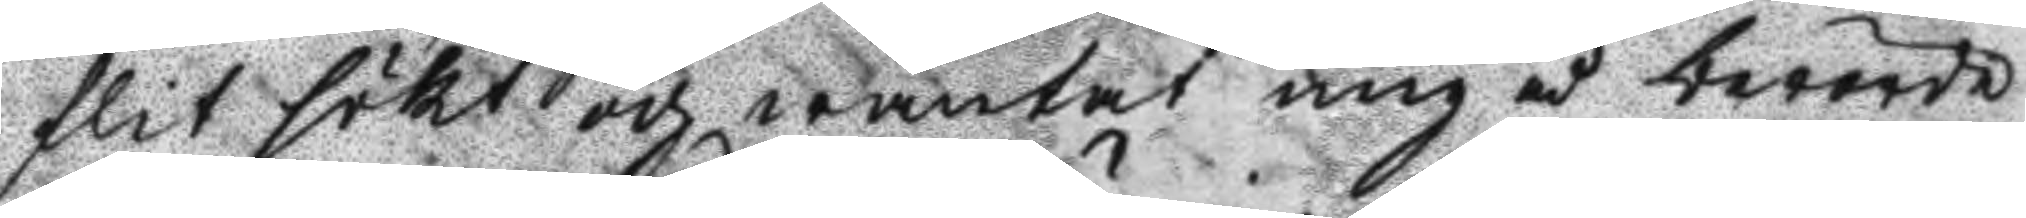flit sökt och wäntat mig å berörde
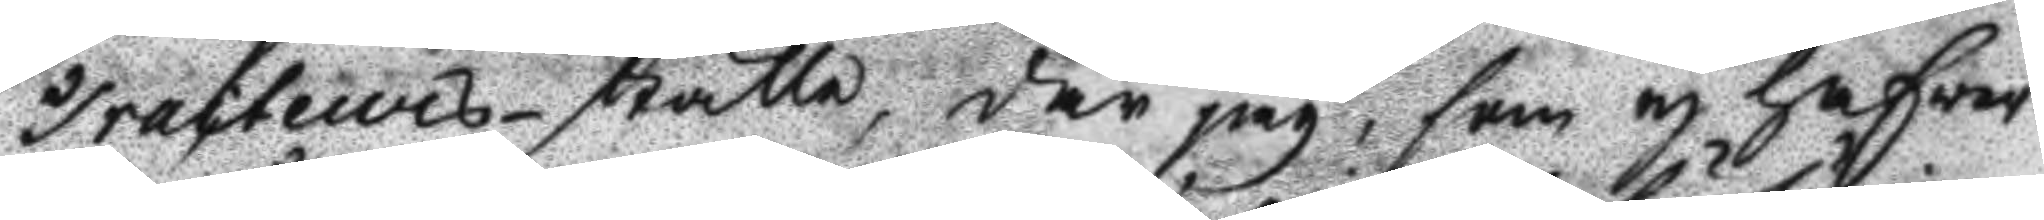Tracteurs-ställe, där jag, som ei hafver
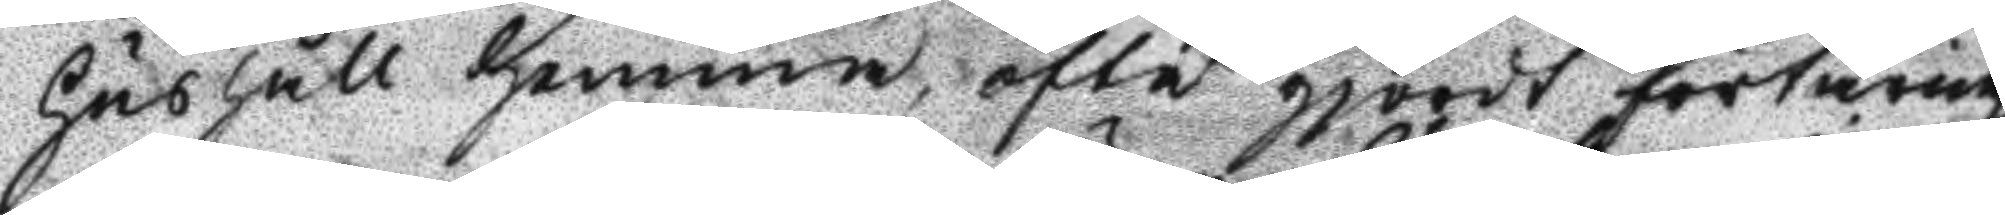hushåll hemma, ofta gjordt förtäring
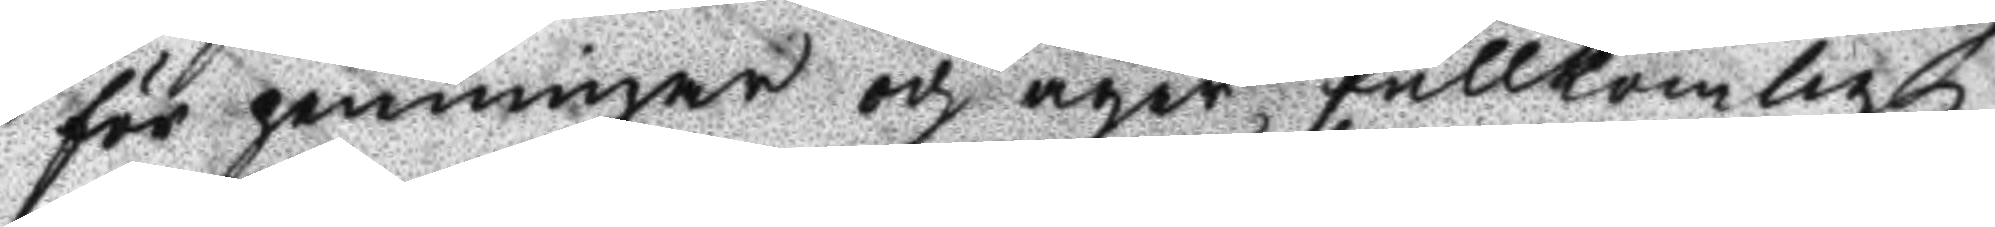för penningar och äger fullkomlig
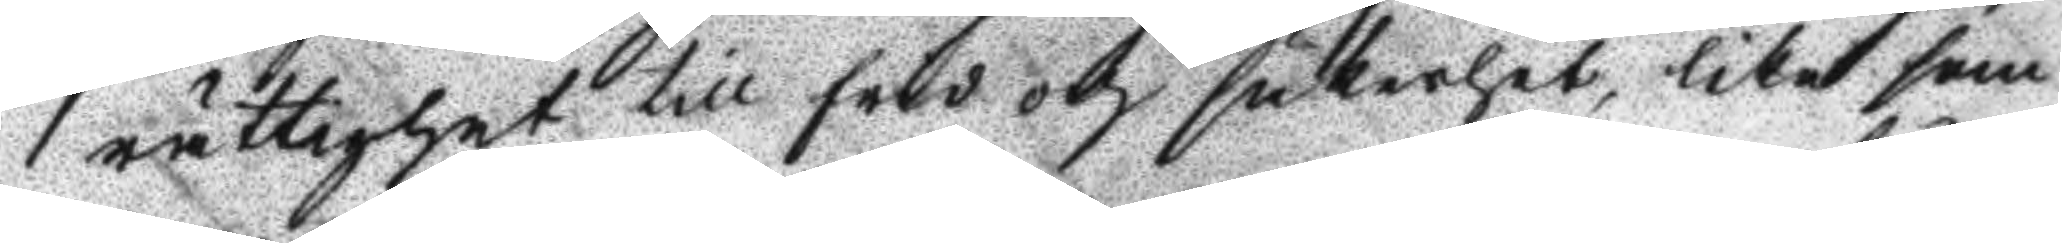rättighet till fred och säkerhet, lika som
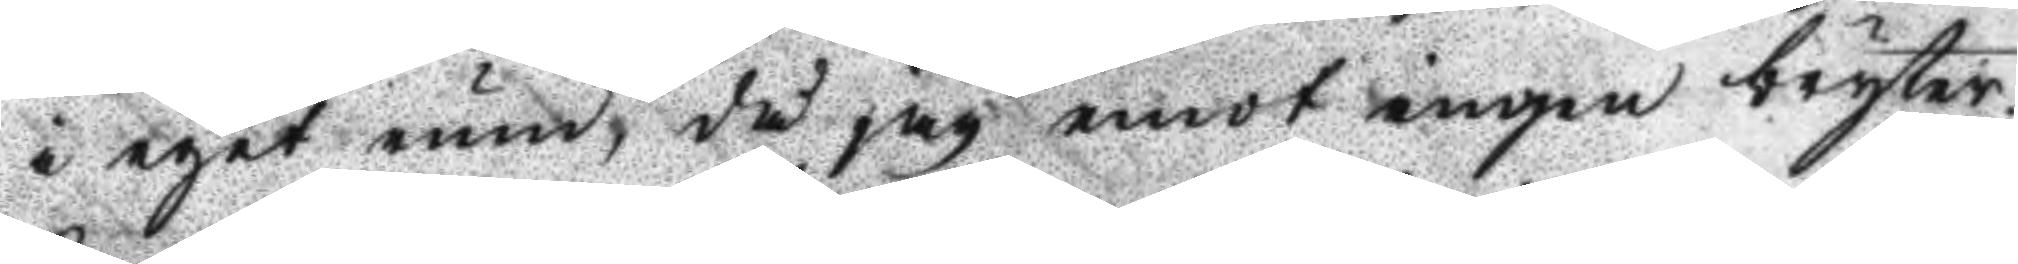i eget rum, då jag emot ingen bryter,
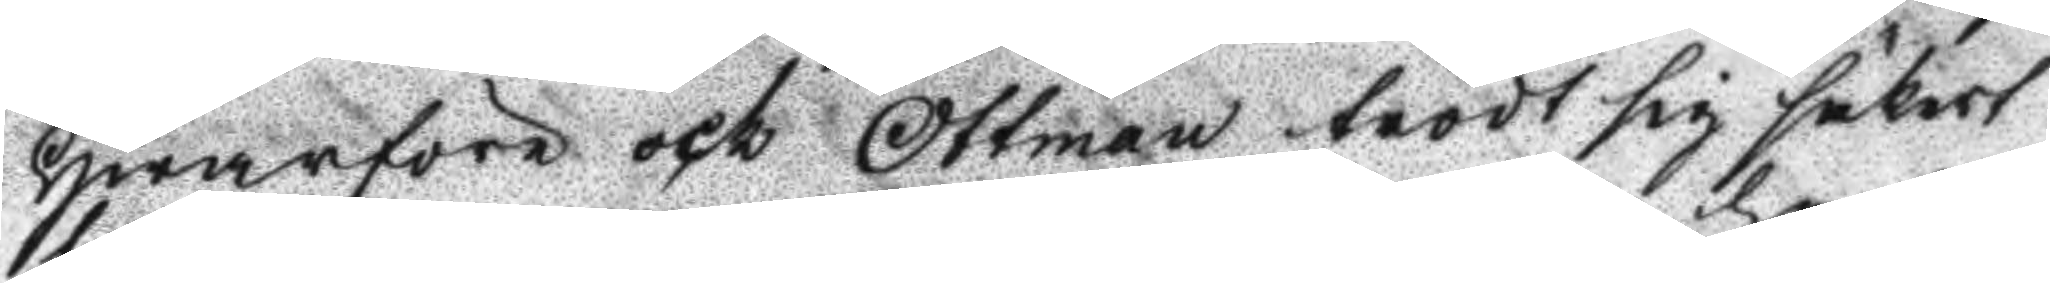Hwarföre och Ottman trodt sig säkert
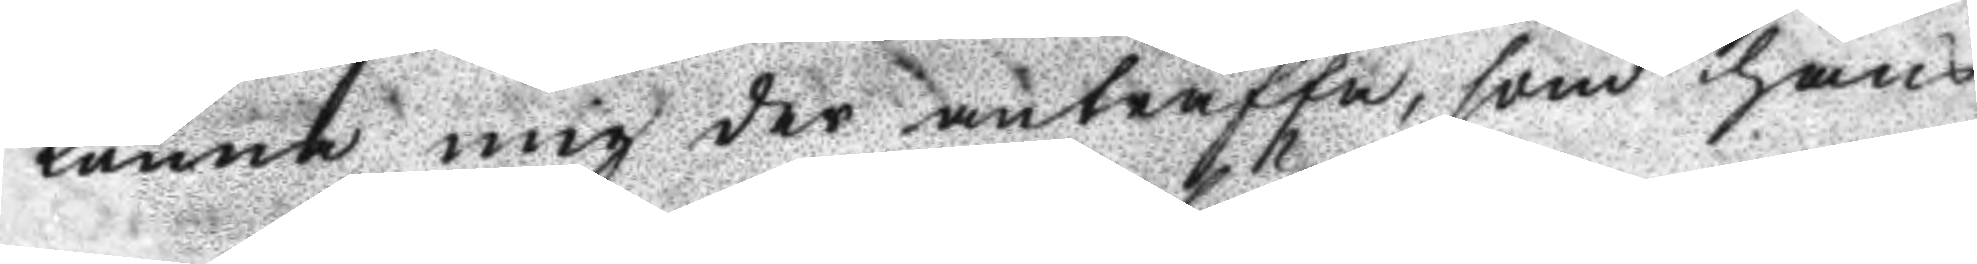kunna mig der anträffa, som hans
